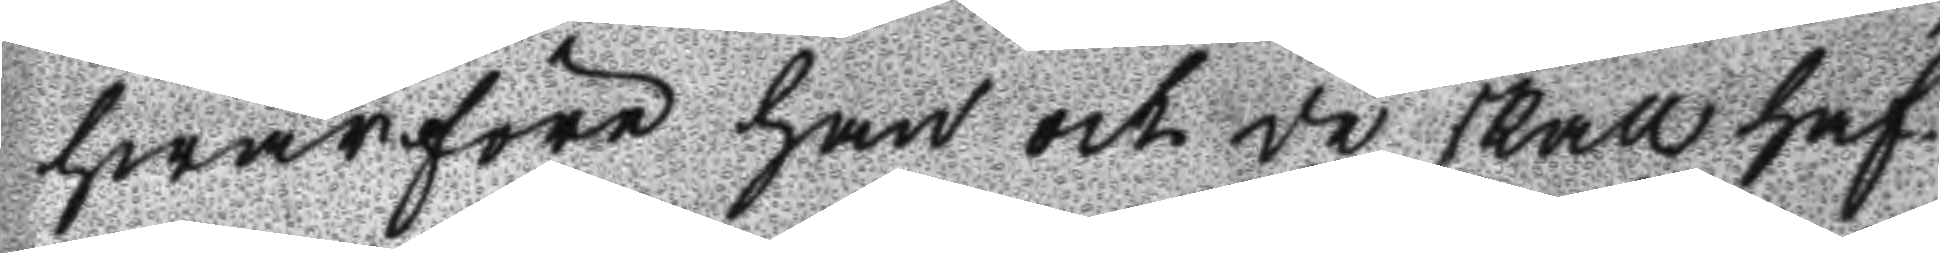hwarföre han och de skall haf¬
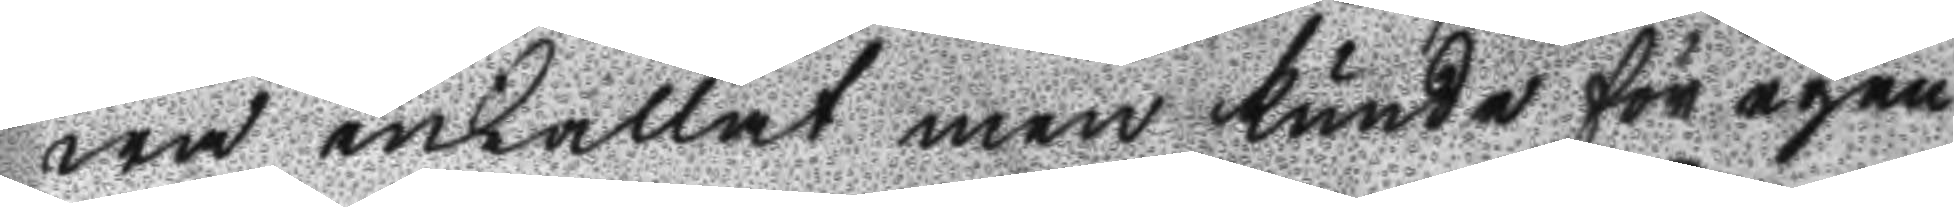wa inkallat men kunde för egen
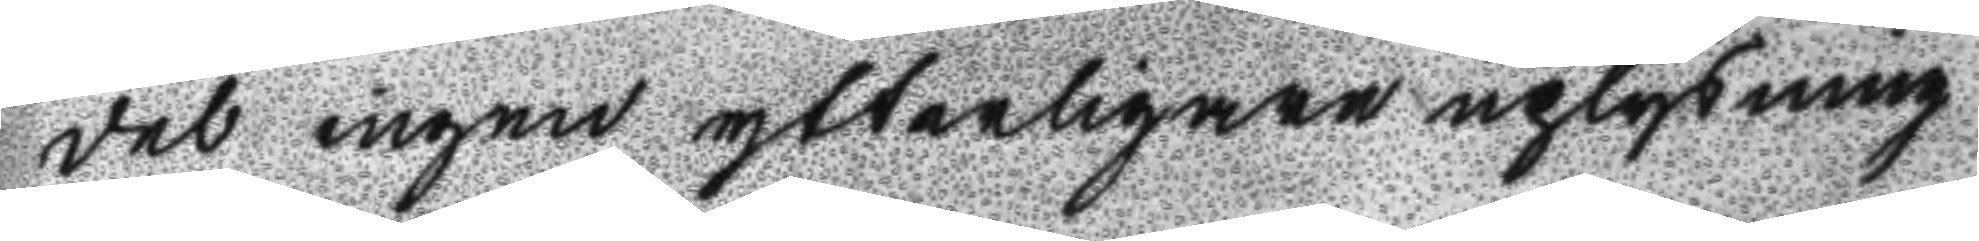del ingen ytterligare uplysning
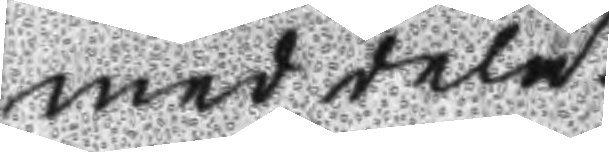meddela.
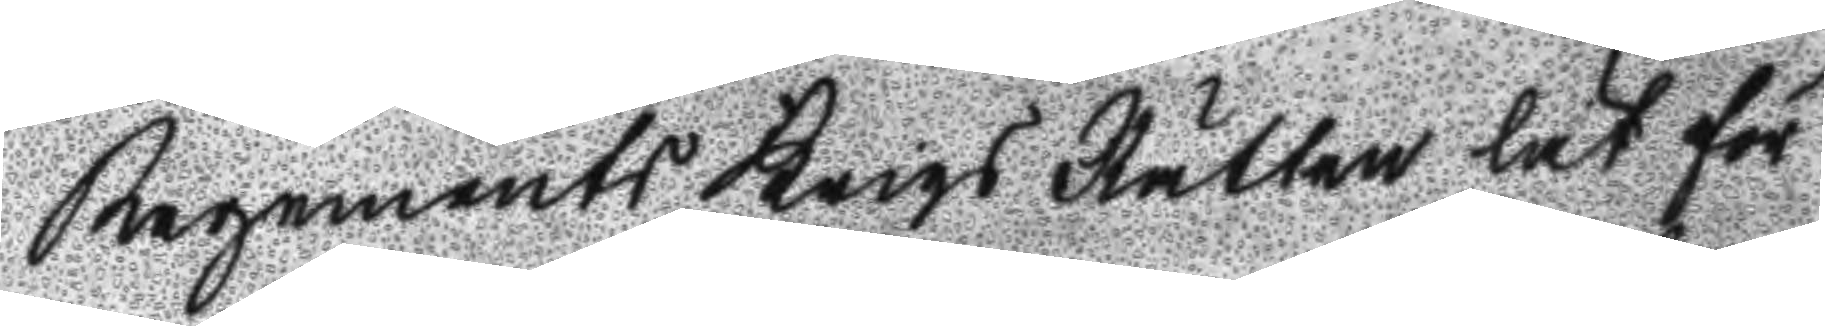Regements Krigs Rätten lät för
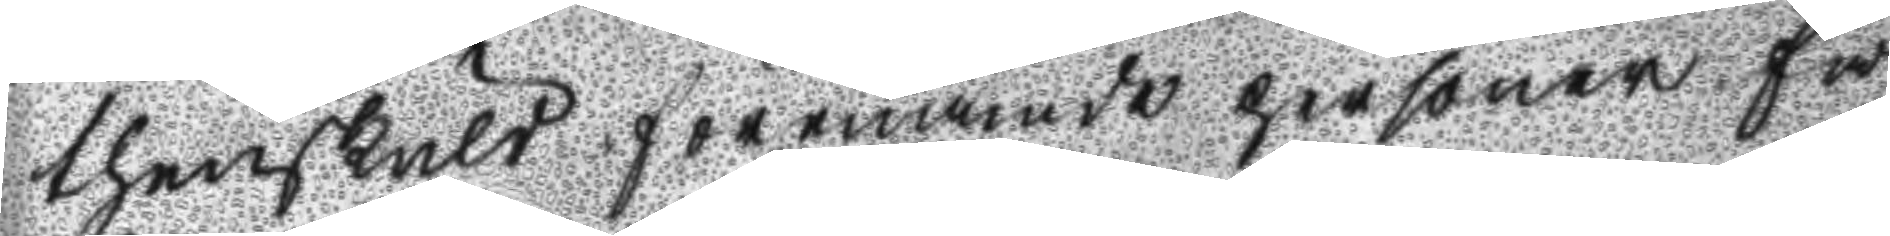thenskuld förenämde personer få
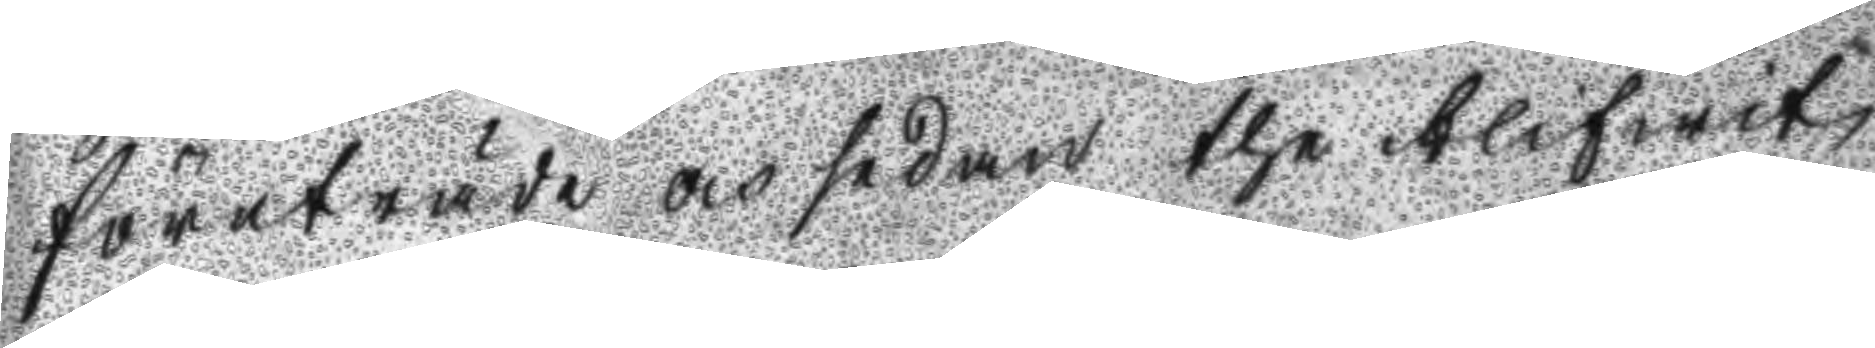företräde och sådan the blifwit
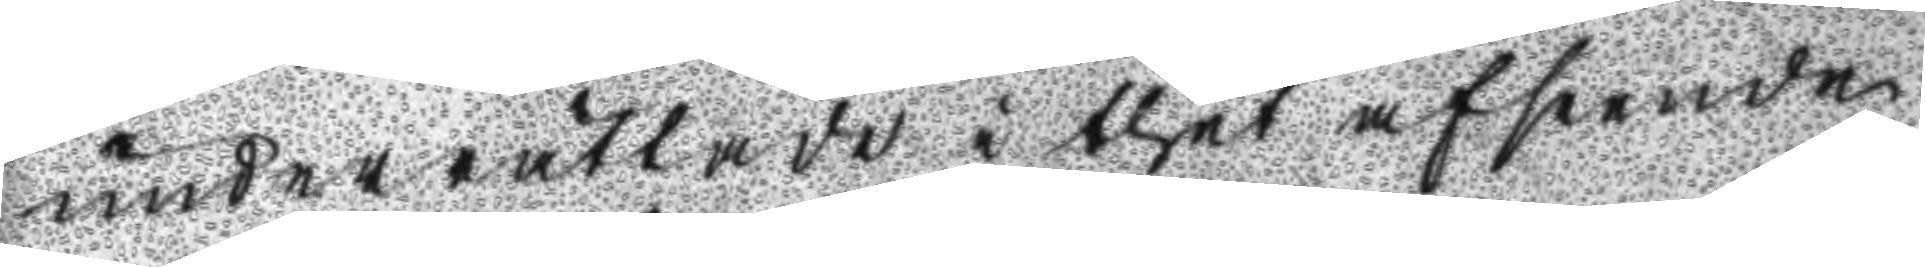underrättade i thet afseende
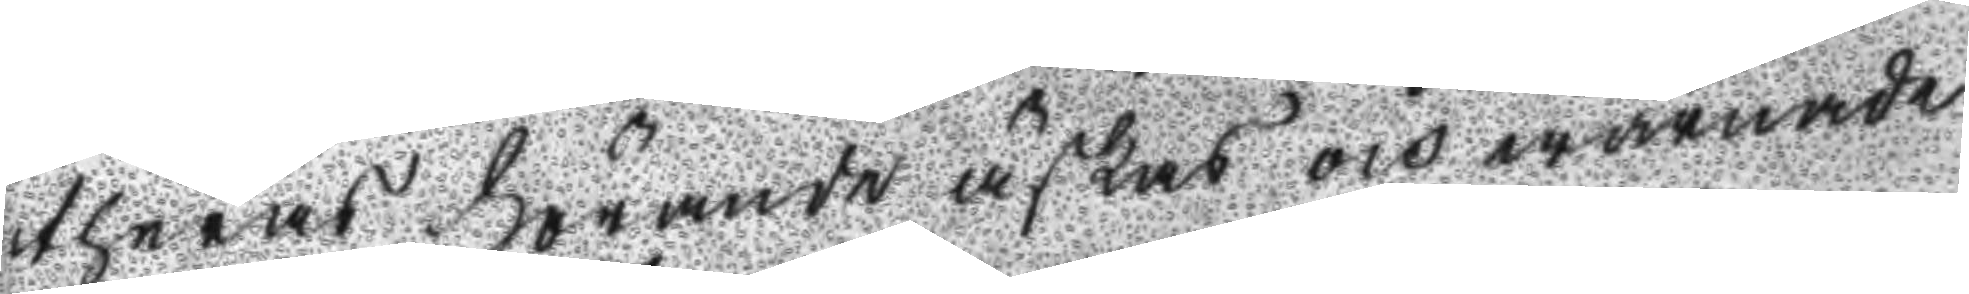theras hörande äskas och warnade
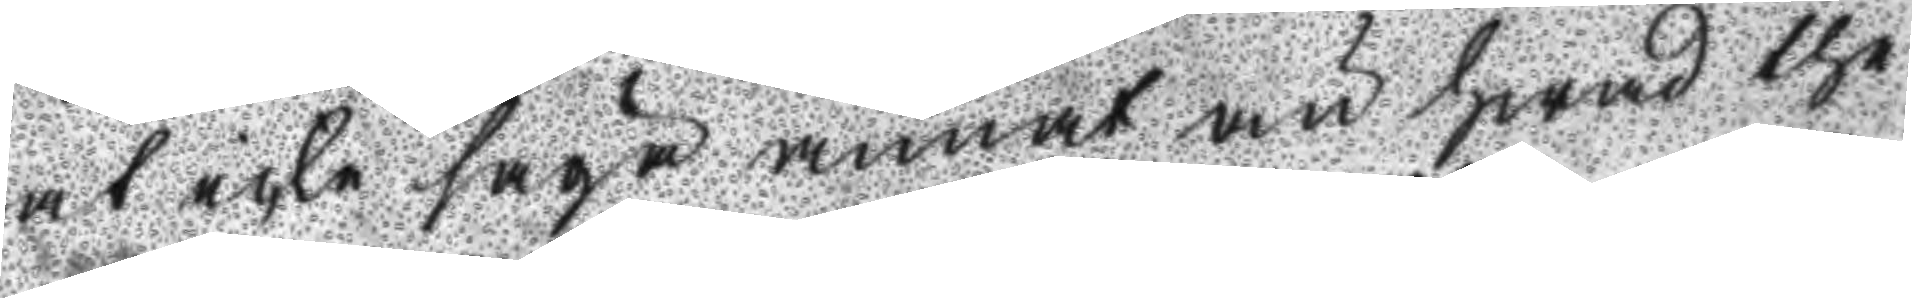at icke säga annat än hwad the 
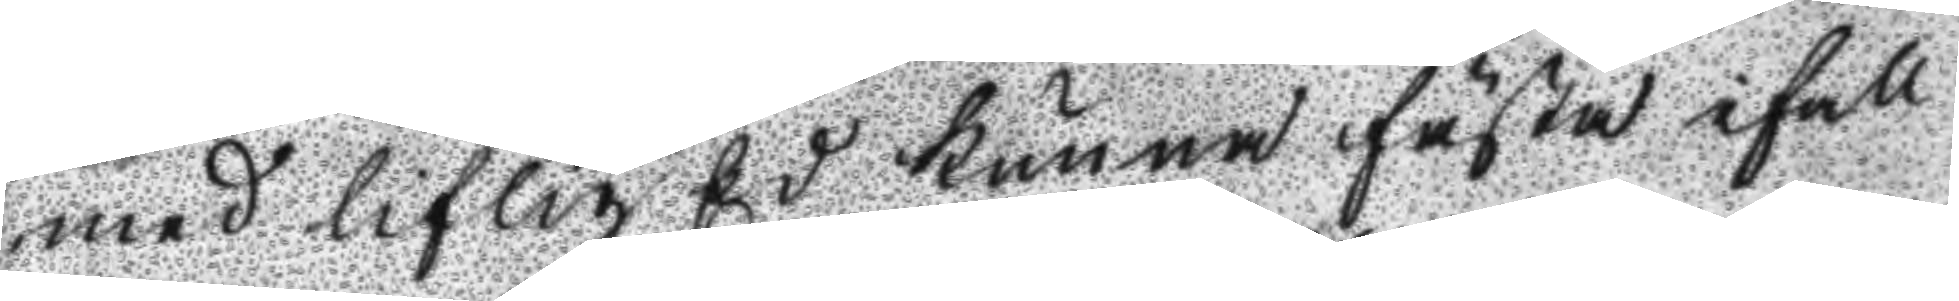med liflig Ed kunna fästa ifall
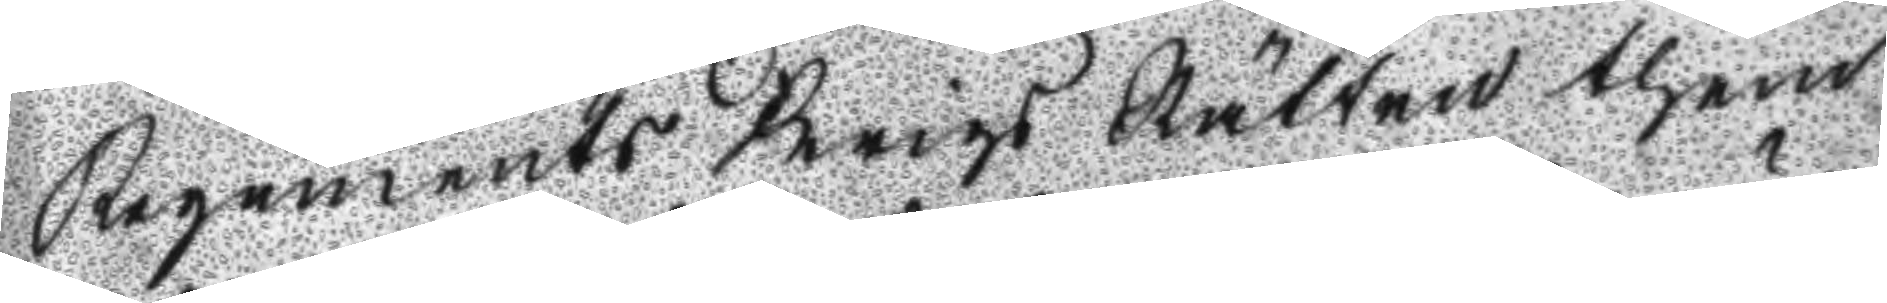Regements Krigs Rätten them
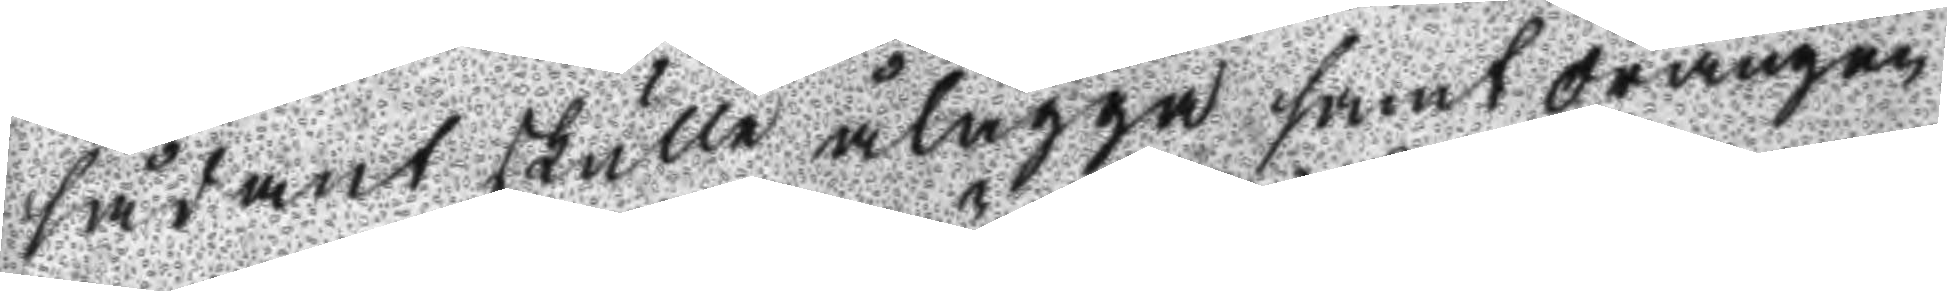sådant skulle ålägga samt drängen
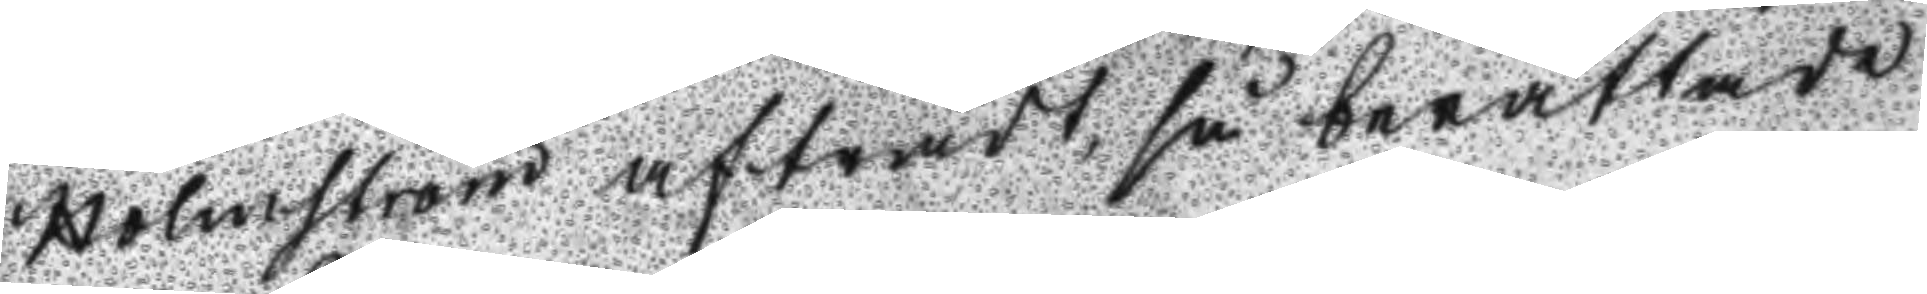Holmström afträdt, så berättade
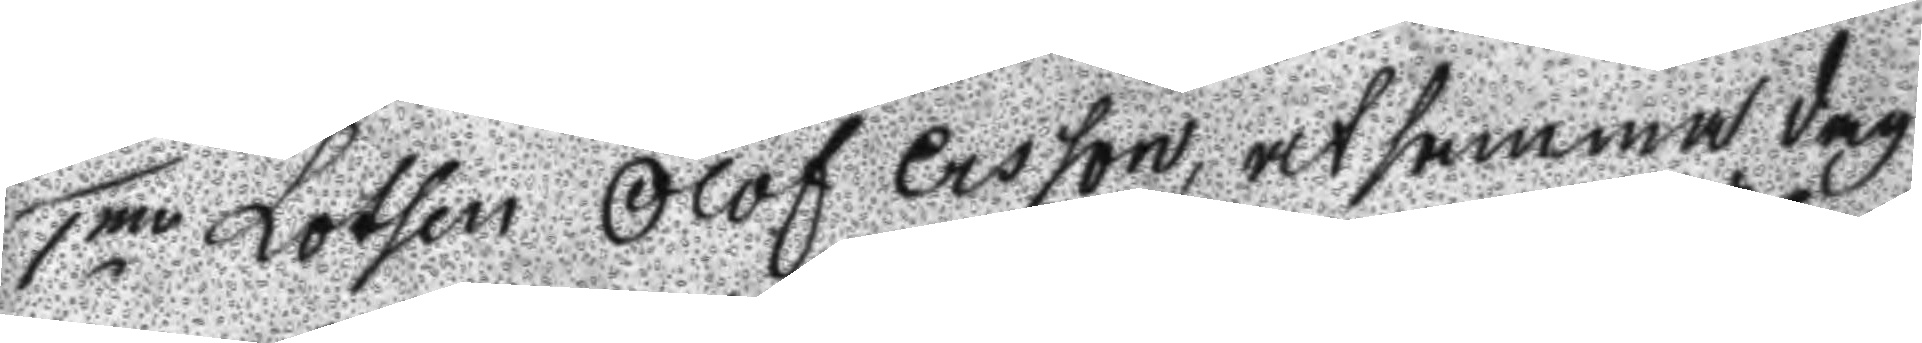1mo Lotsen Olof Ersson, at samma dag
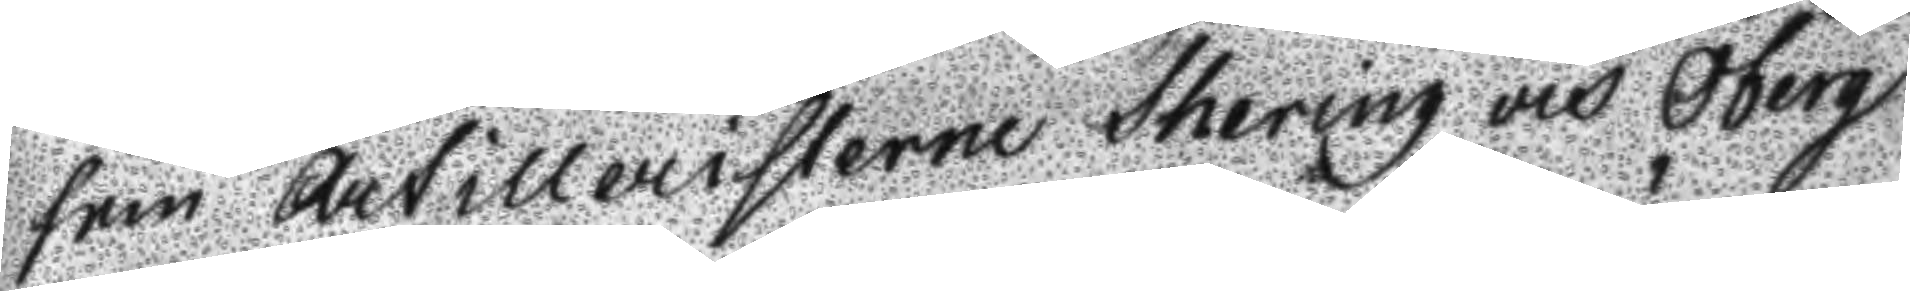som Artilleristerne Schering och Öberg
